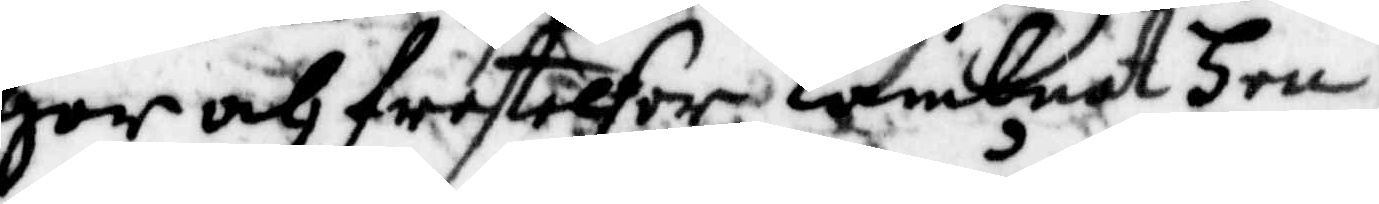gar och frestelser lämbnat Hen¬
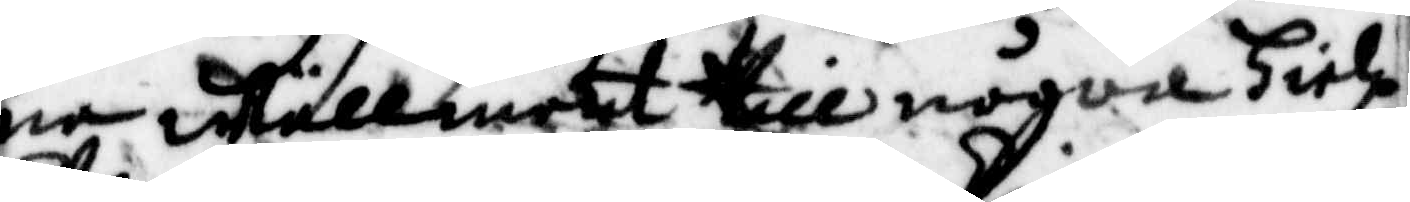ne wällment till någon Hielp
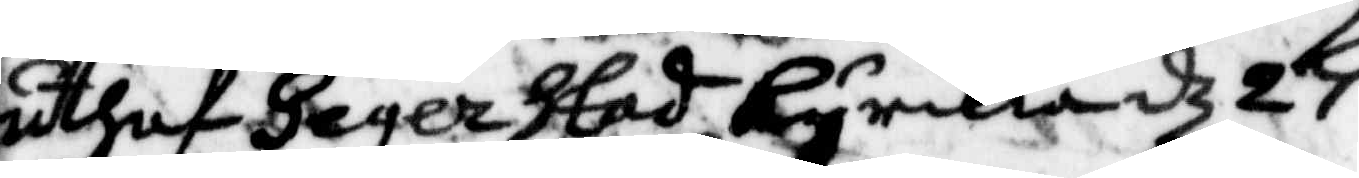uthaf Hegerstad Kyrkia 27
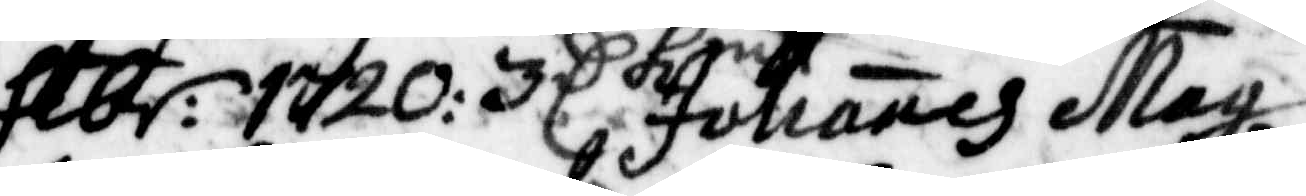febr: 1720: 3 C kmt. Johanes may
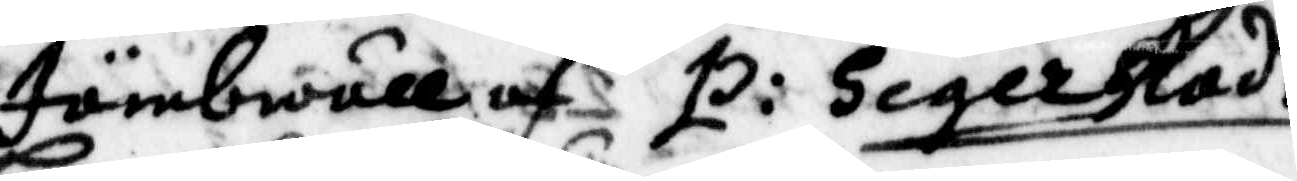Jämbwäll af P: Segerstad
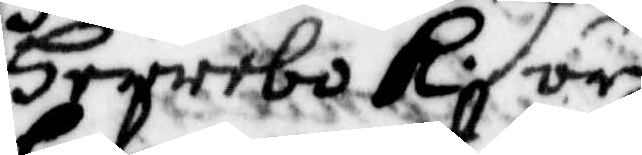Herrebo K. är
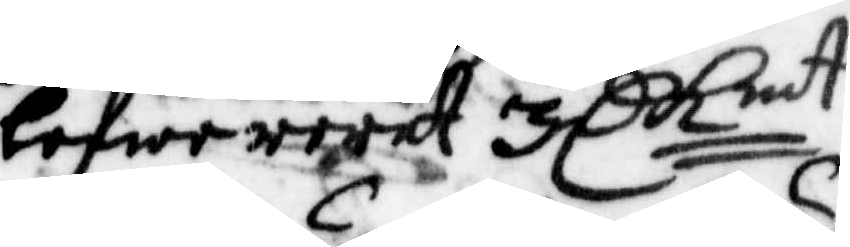lefwererat 3 C kmt
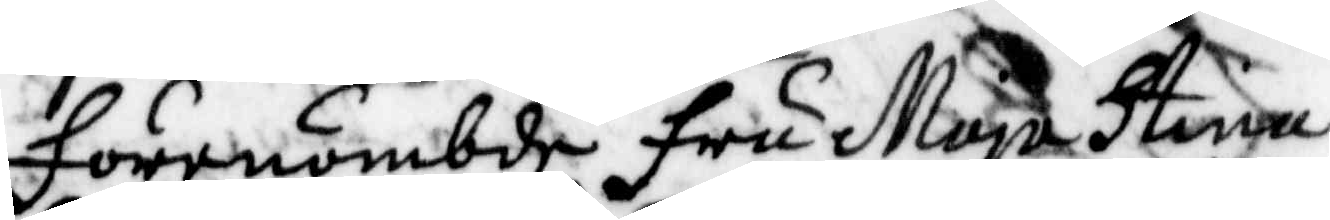förenämbde fru Maja Stina
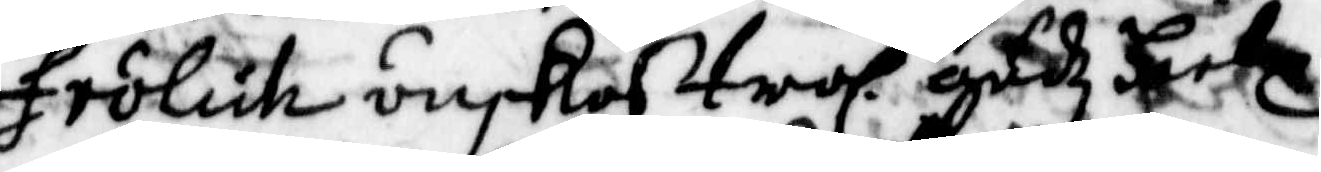frölich önskas trol: gudz
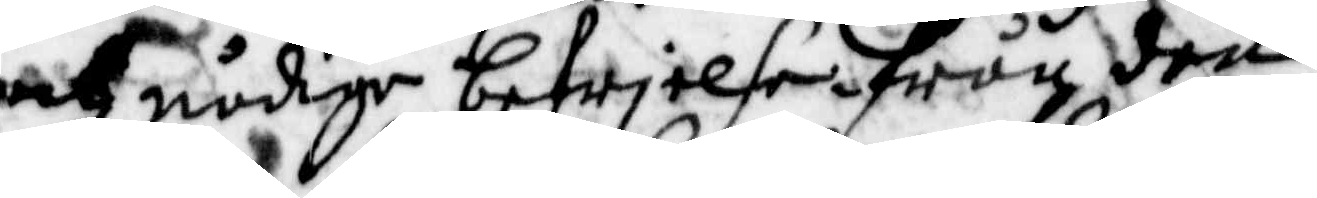och nådige befrielse ifrån den
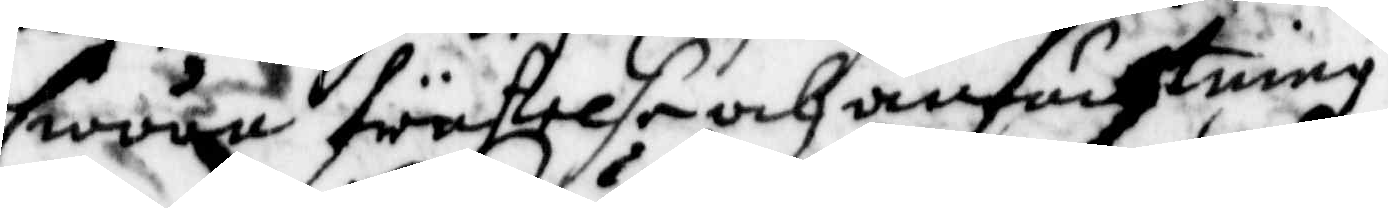swåra frästelse och anfächtning
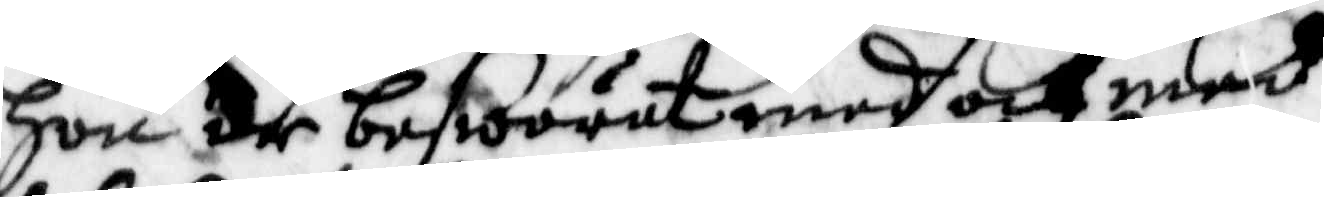hon är beswärat med och med¬
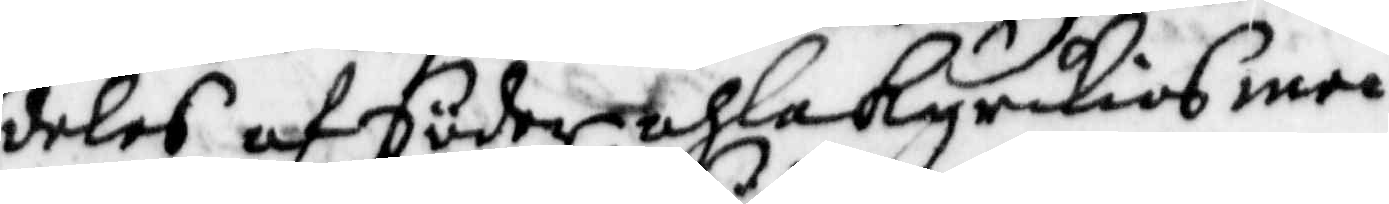deles af Söderahla Kyrkios me¬
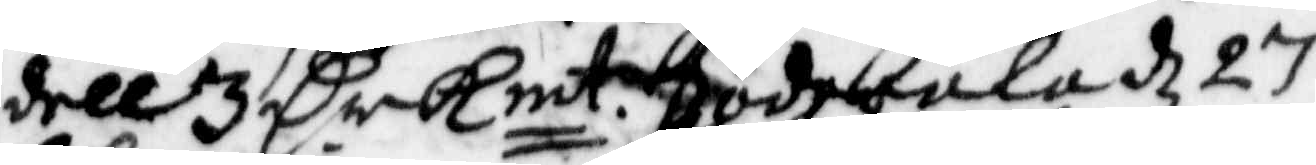dell 3 Cr Kmt. Söderala d 27
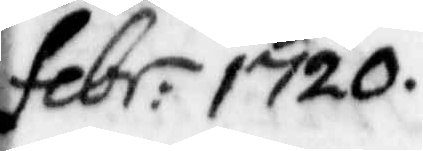febr. 1720.
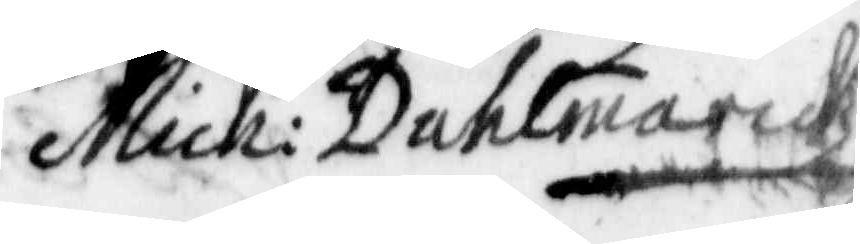Mich: Dahlmarckz
